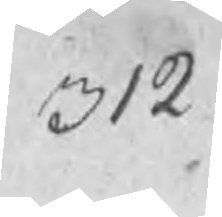312
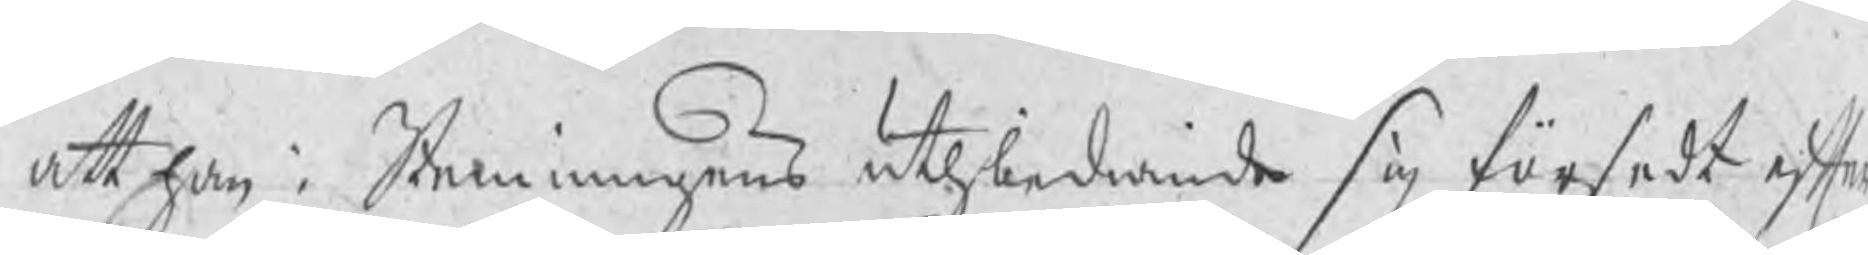att han i Stemningens uthbediande sig försedt efter
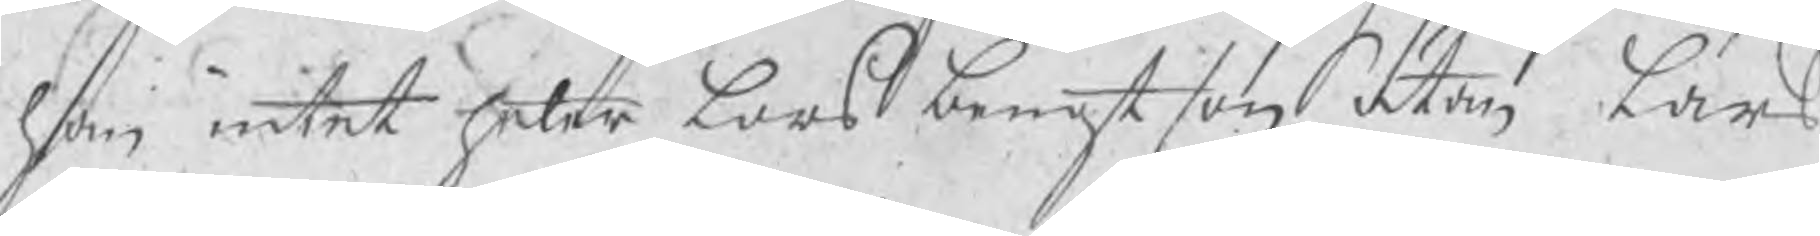han intet heter Lars bengtson, utan Lars
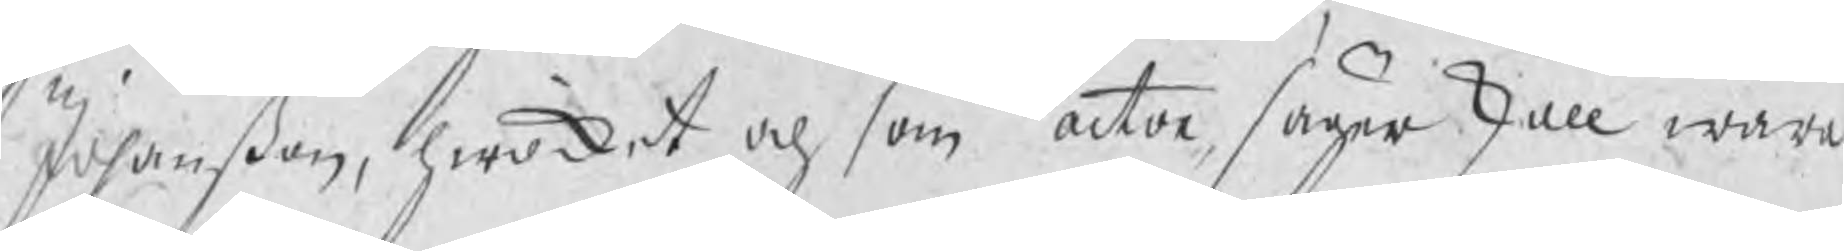Johanßon, hwilket och som actor säger skall wara
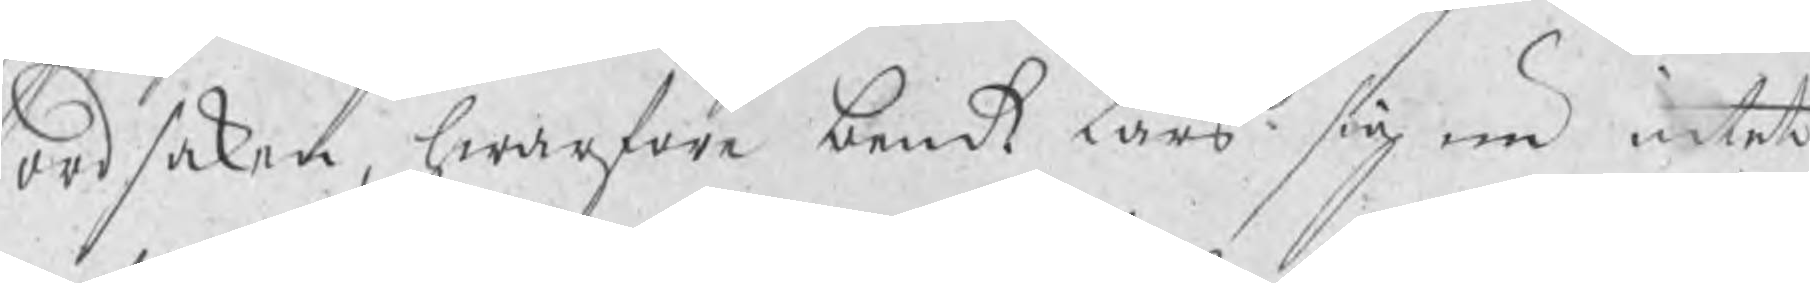ordsaken, hwarföre bemt Lars sig nu intet
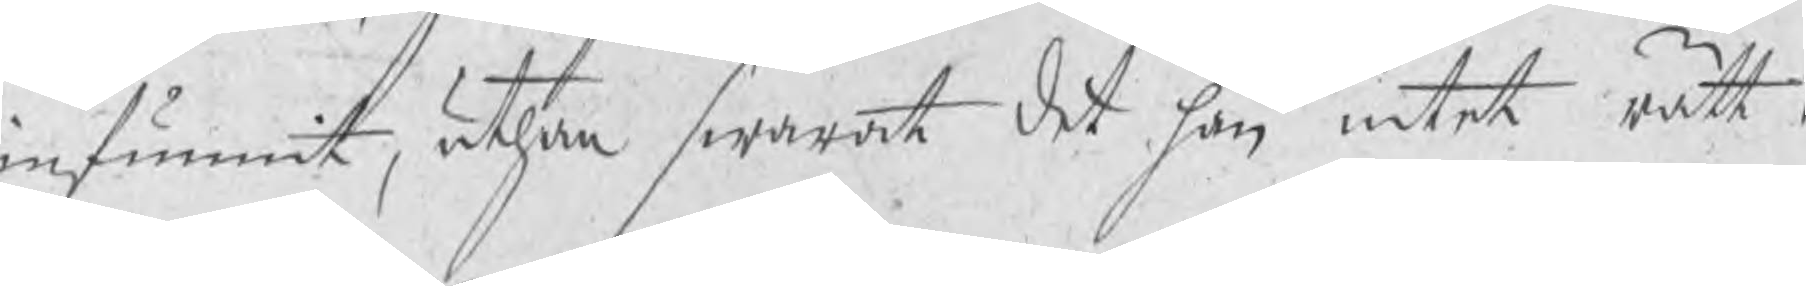infunnit, uthan swarat det han intet rätt i
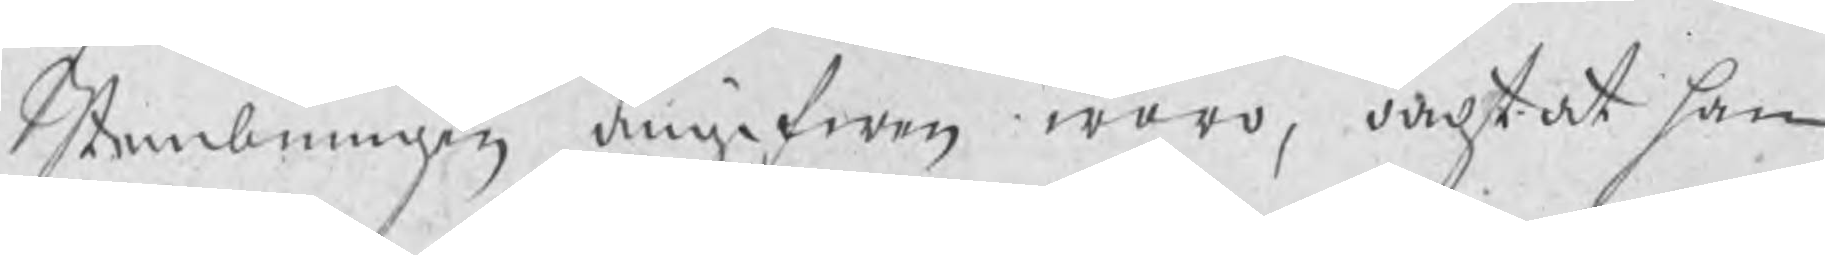Stembningen angifwen woro, oachtat han
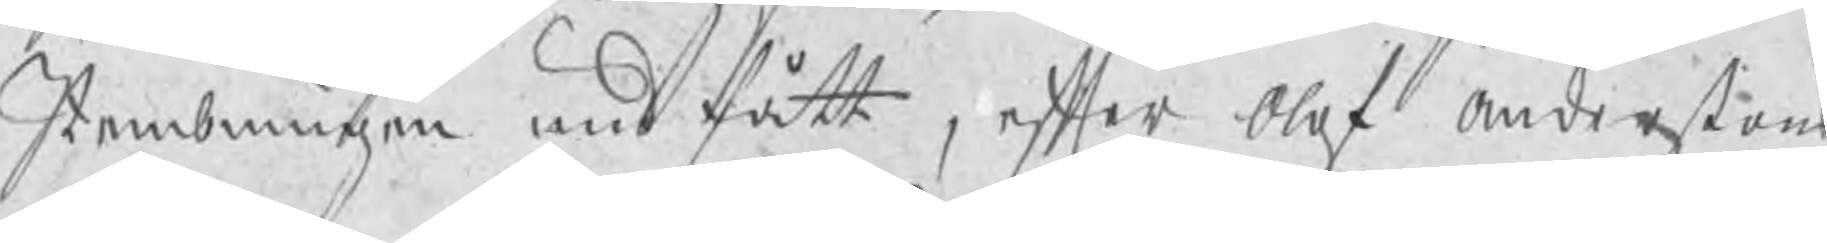Stembningen undfått, efter Olof Anderßons
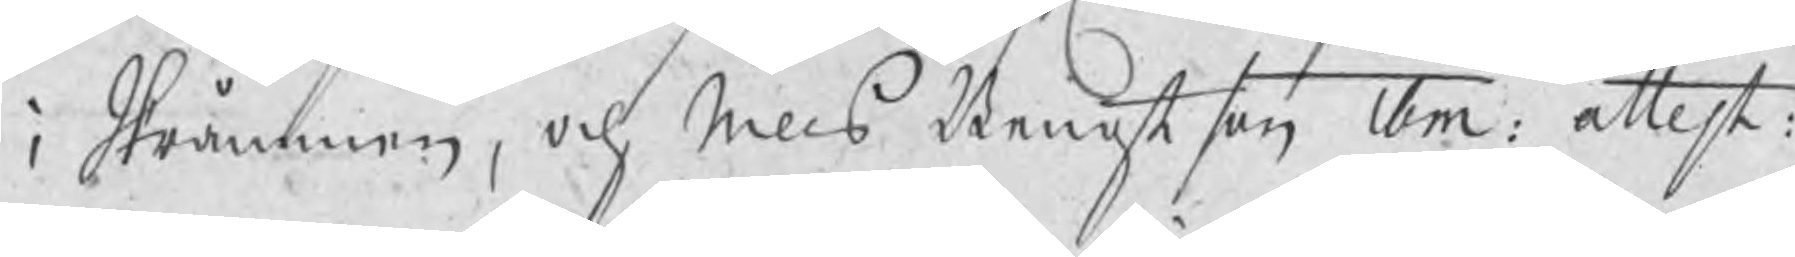i Skråmmen, och Nills Bengtson ibm: attest:
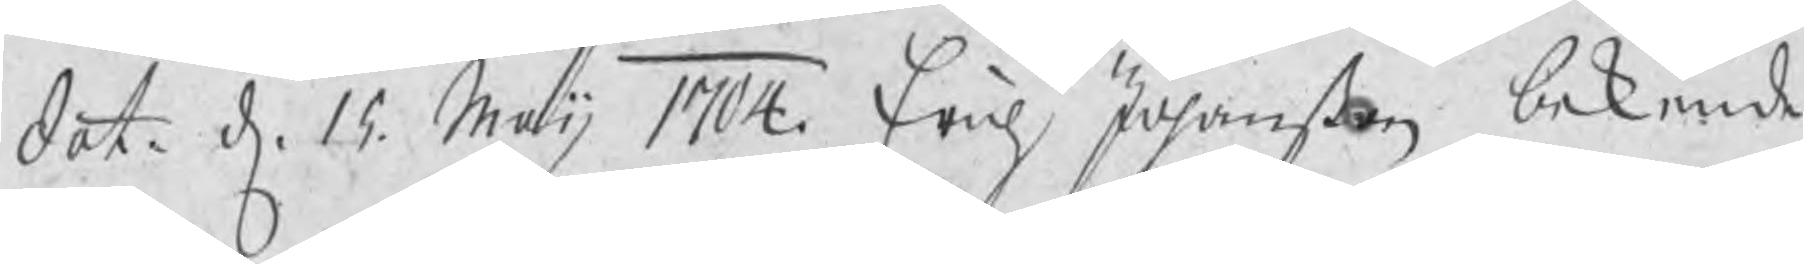dat. d. 15 Maij 1704. Erich Johanßon bekiende
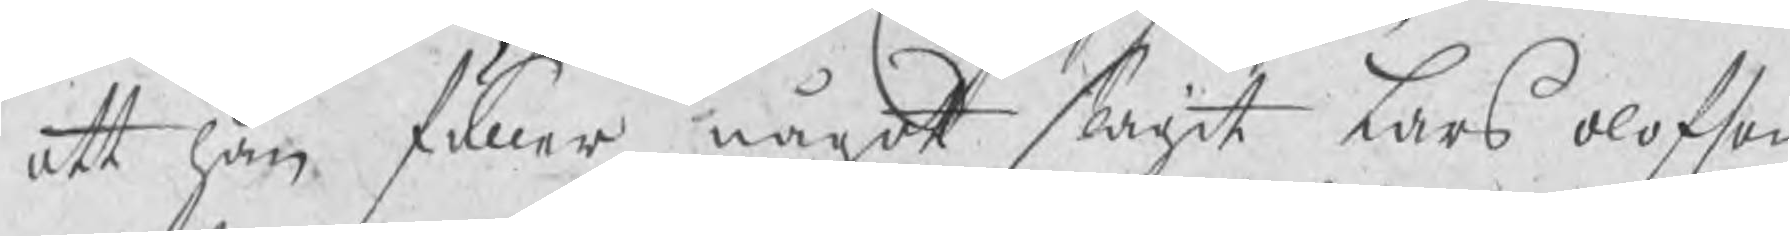att han fuller något slagit Lars Olofson
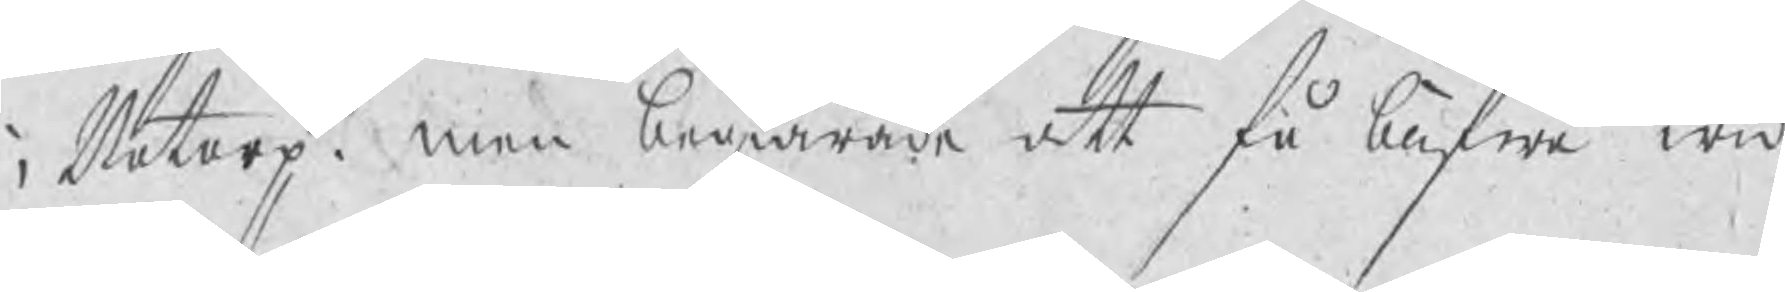i Botorp, men begiärade att få blifwa wid
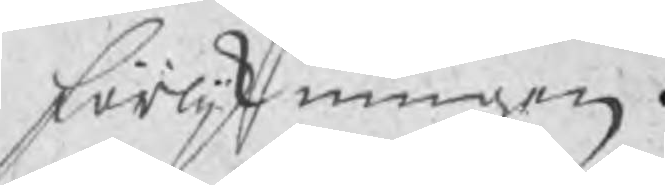förlijkningen.
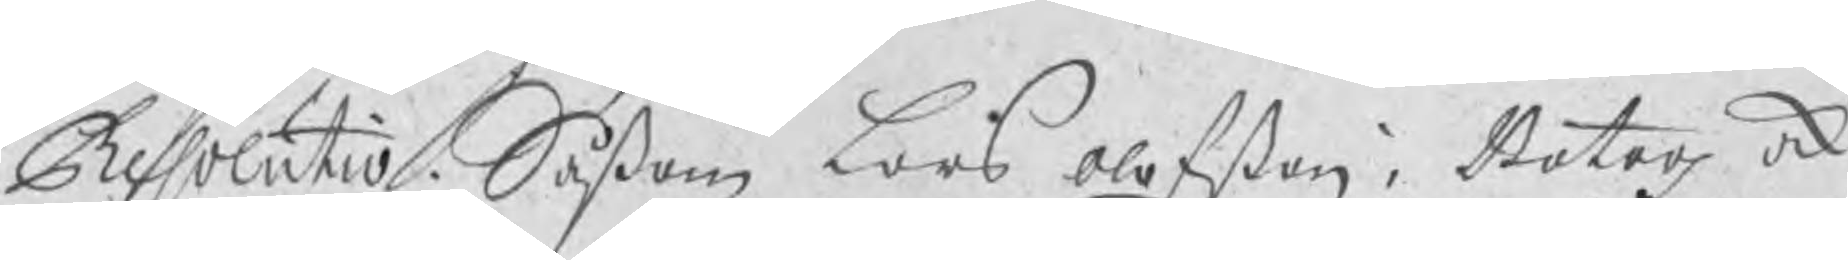Resolutio. Såßom Lars Olofßon i Botorp ock
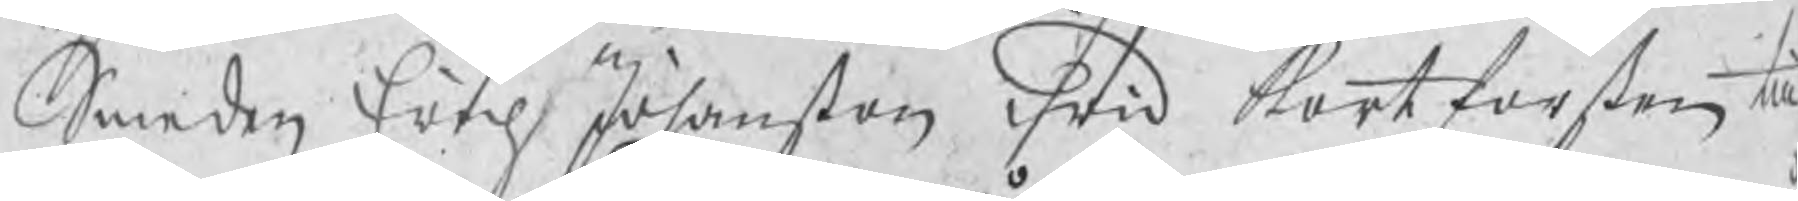Smeden Erich Johanßon wid Kortforsen till¬
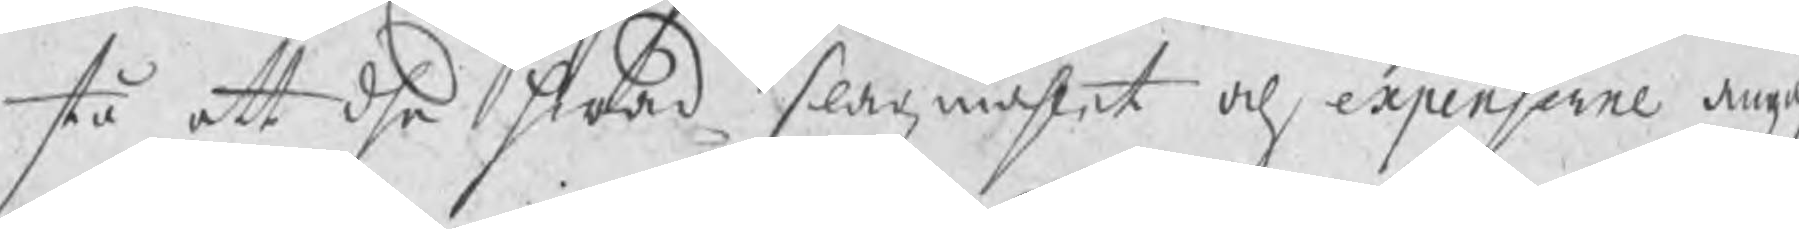stå att dhe hwad slagzmåhlet och expenserne angå,
